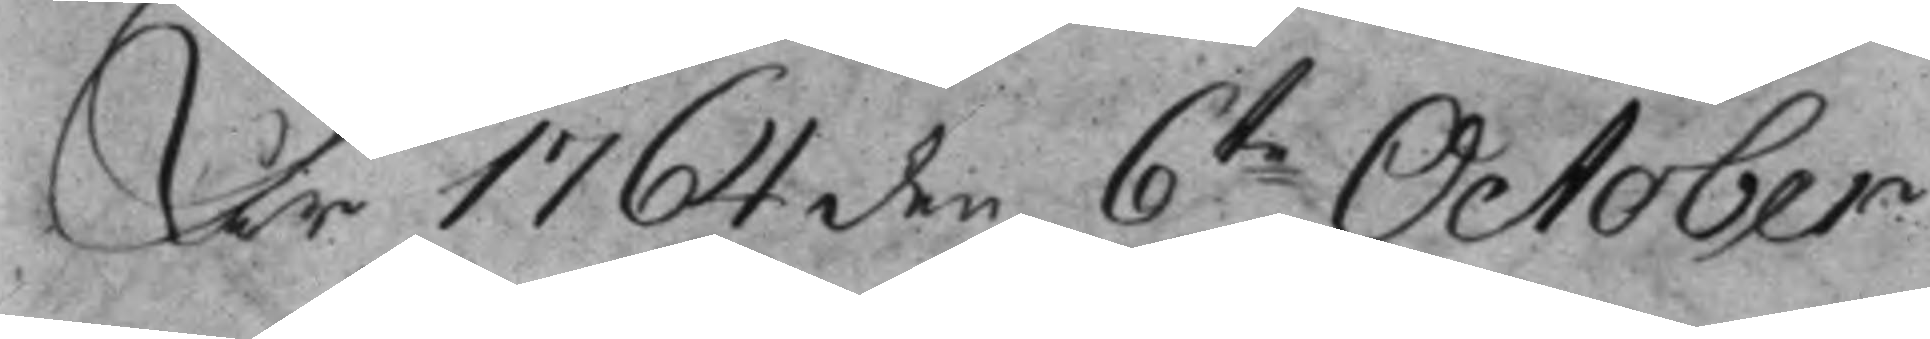År 1764 den 6te October
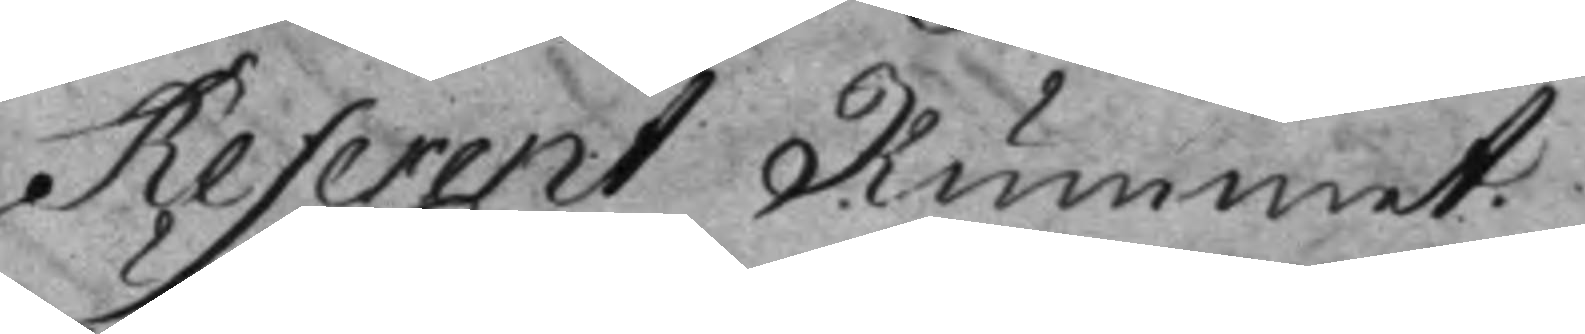Referent Rummet.
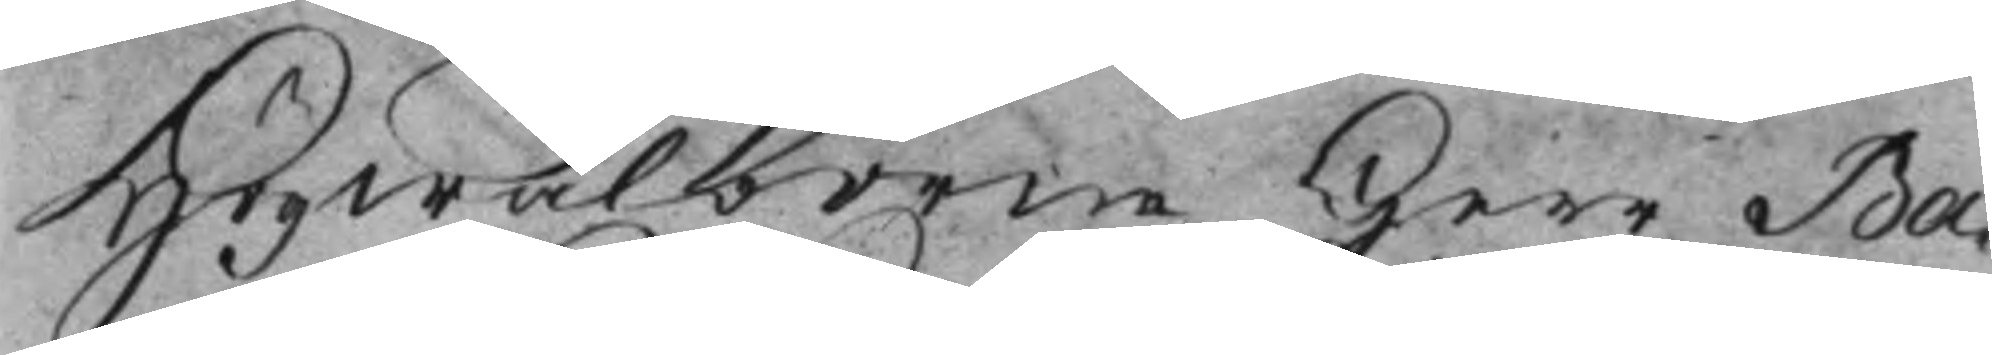Högwälborne Herr Ba¬
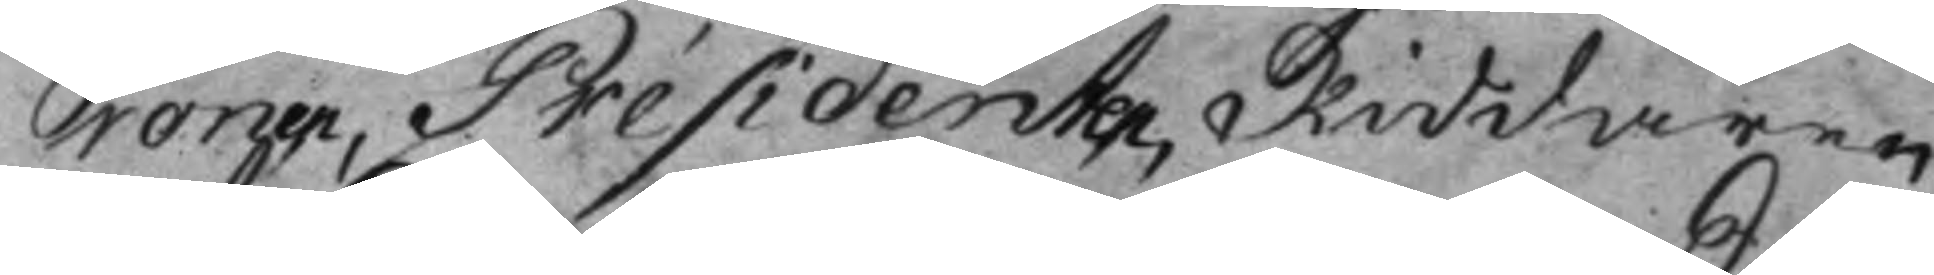ronen, Présidenten, Riddaren
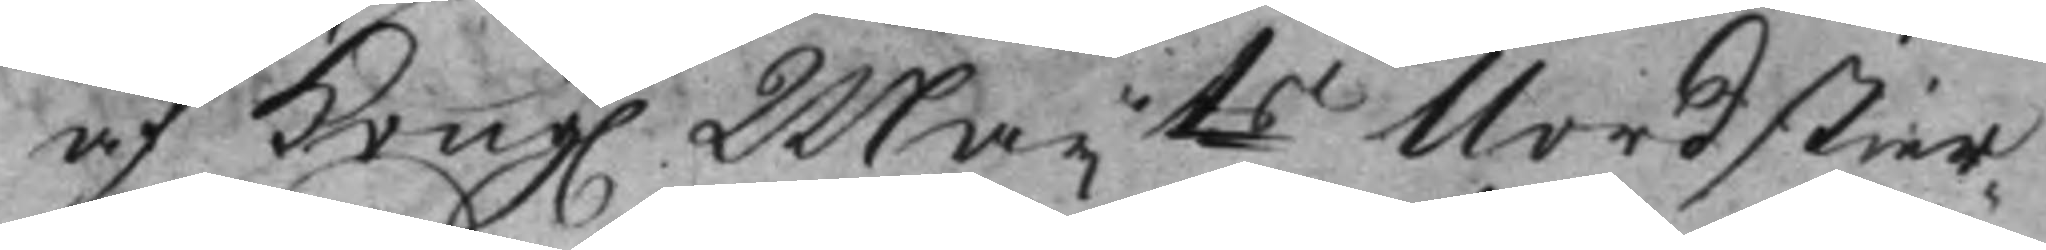af Kong. Maijts Nordstier¬
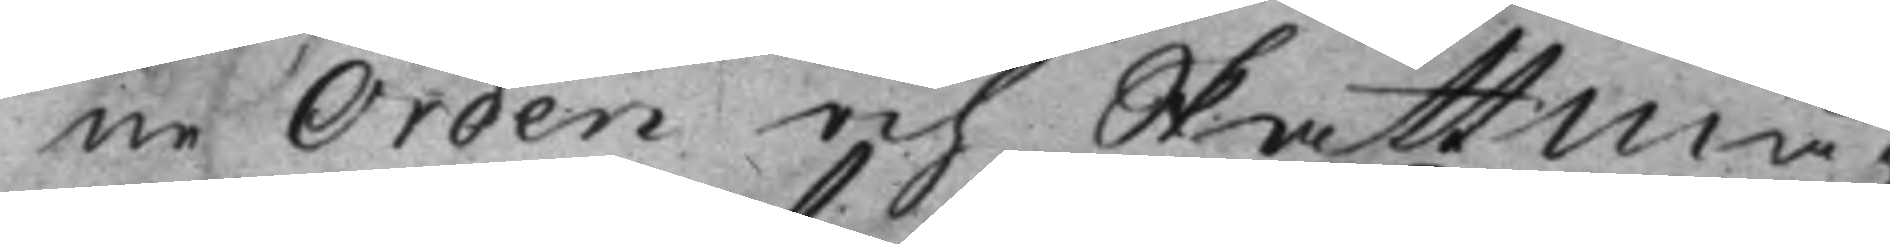ne Orden och Skattmä¬
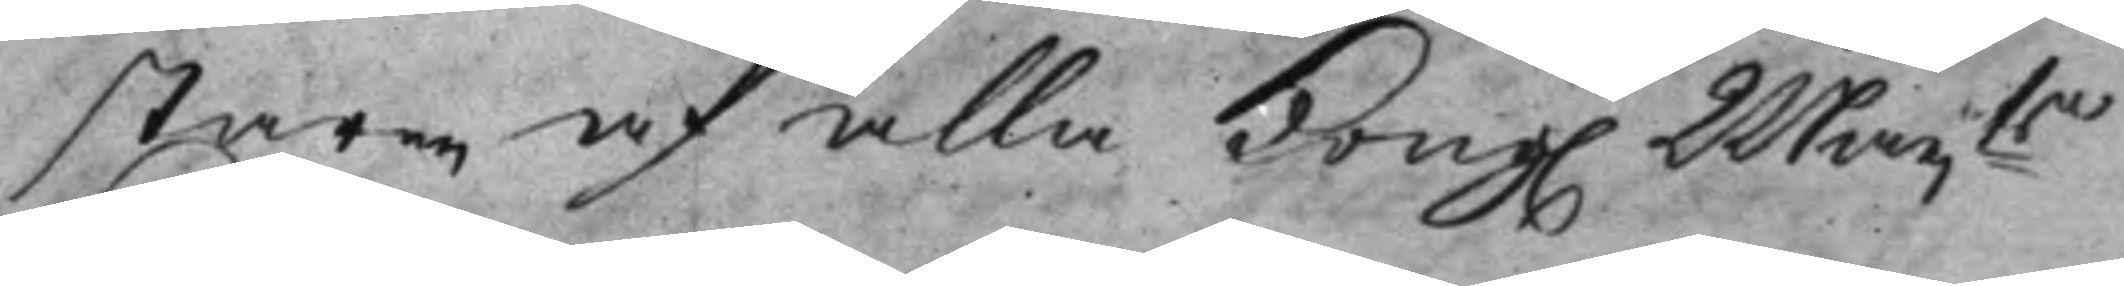staren af alla Kong. Maijts
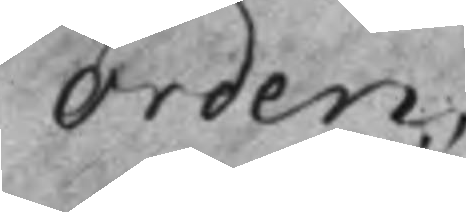Orden.
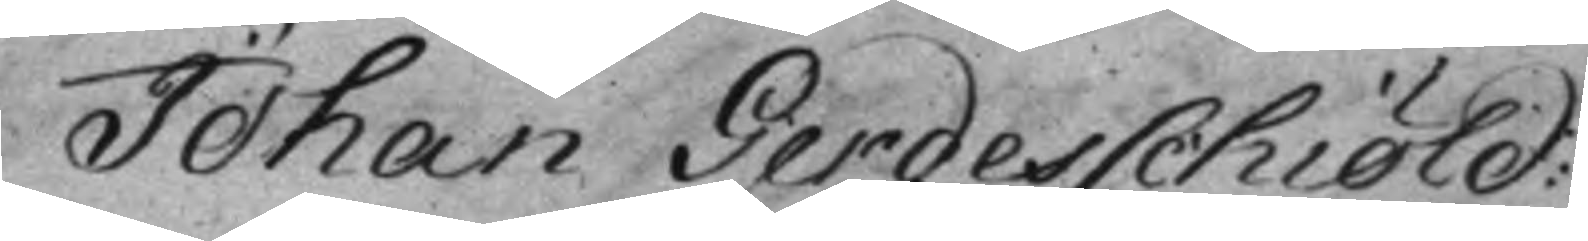Johan Gerdesschiöld:
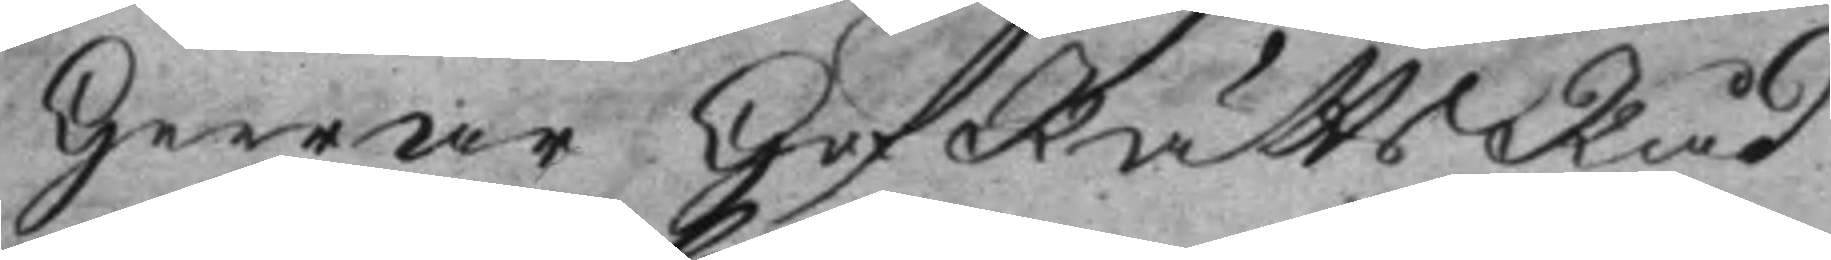Herrar HofRättsRåd
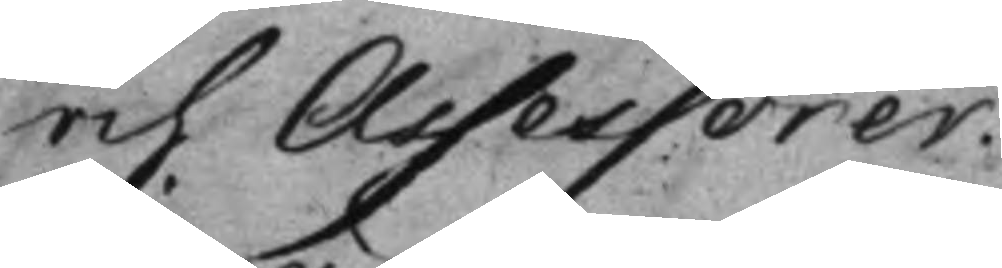och Assessorer:
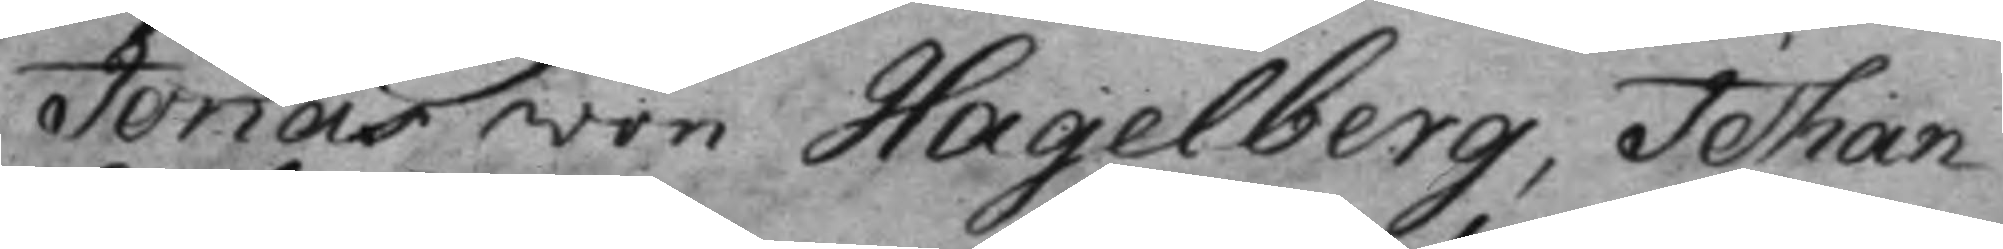Jonas von Hagelberg, Johan
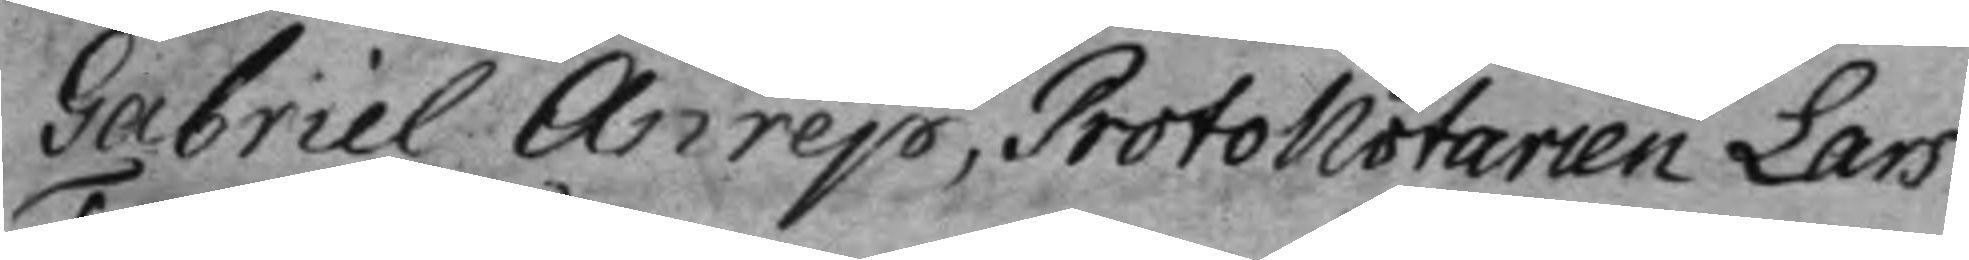Gabriel Anrep, ProtoNotarien Lars
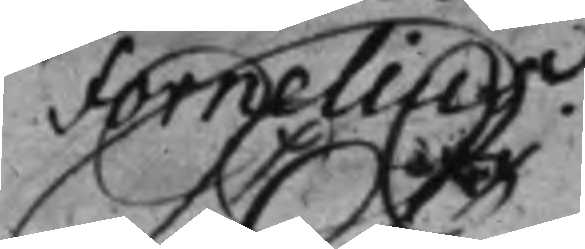Fornelius.
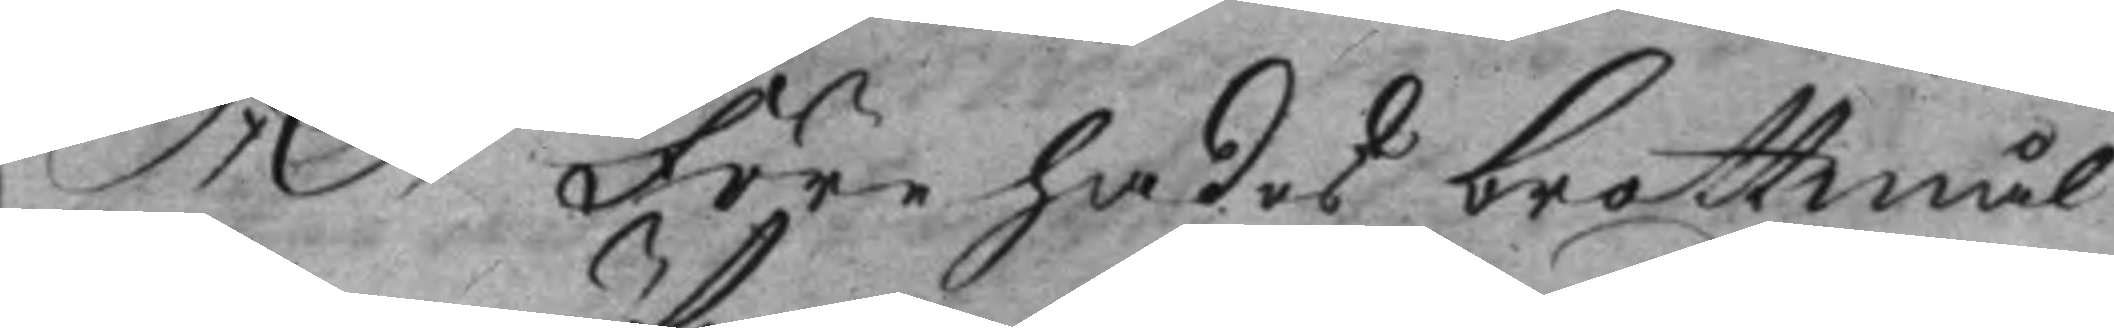S: D: Förehades brottmål
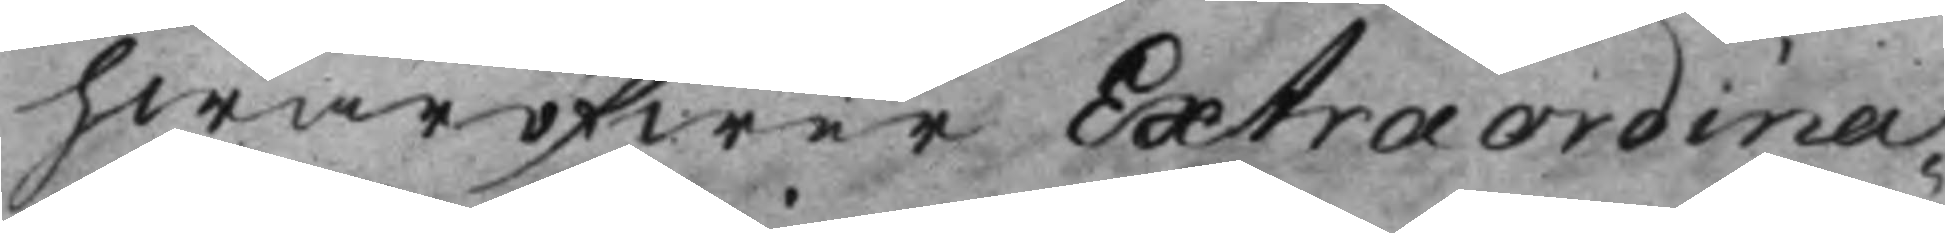hwaröfwer Extraordina¬
